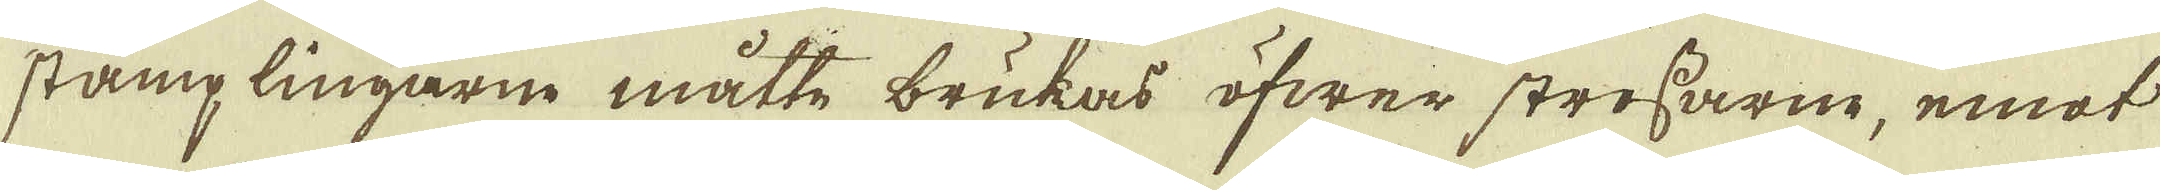stämplingarne måtte brukas öfwer strossarne, emot
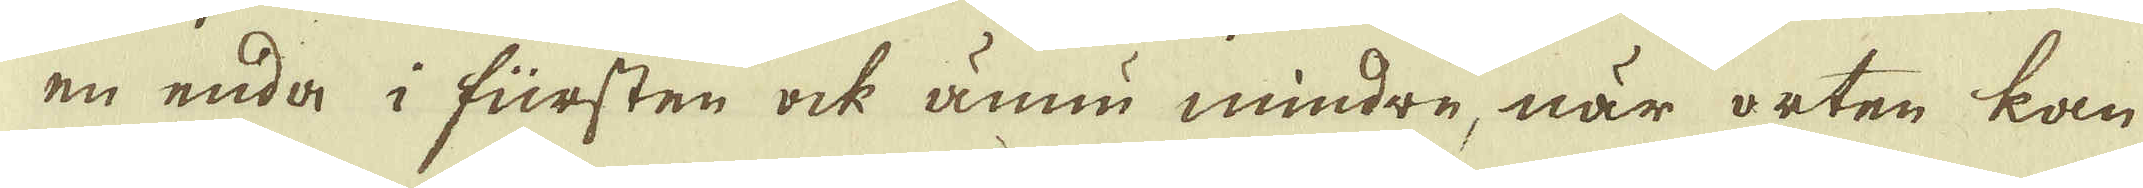en enda i fürsten ock ännu mindre, när orten kan
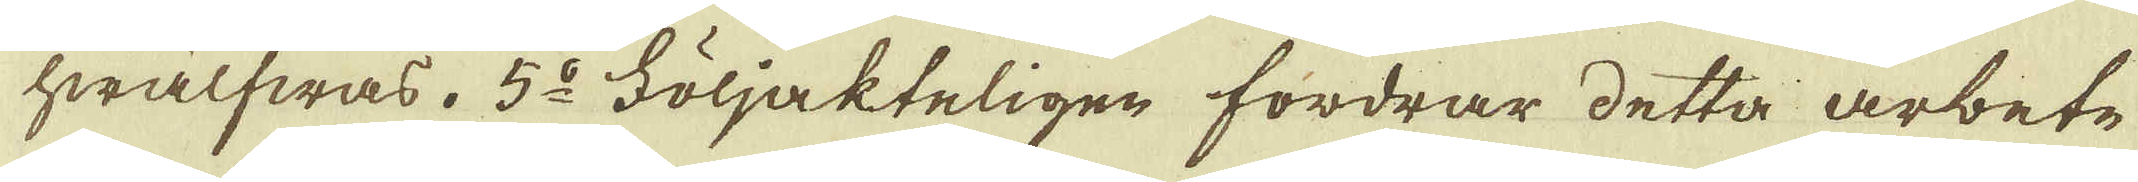hwälfwas. 5:o Följakteligen fordrar detta arbete
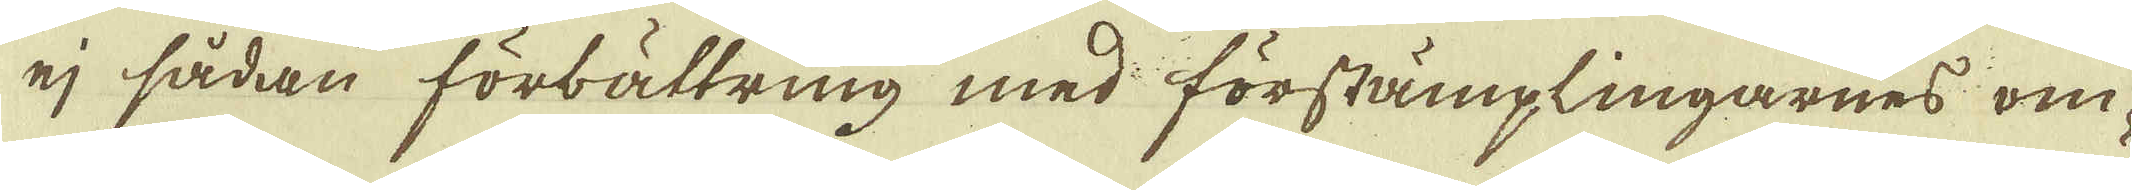ej sådan förbättring med förstämplingarnes om-
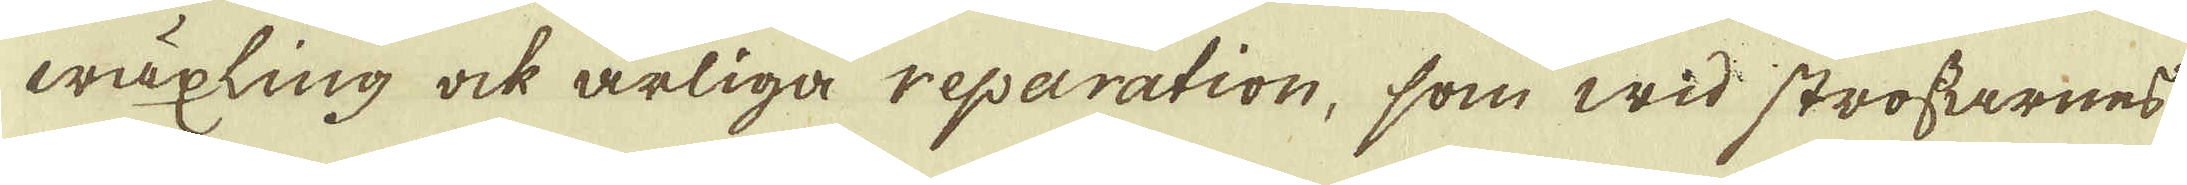wäxling ock årliga reparation, som wid strossarnes.
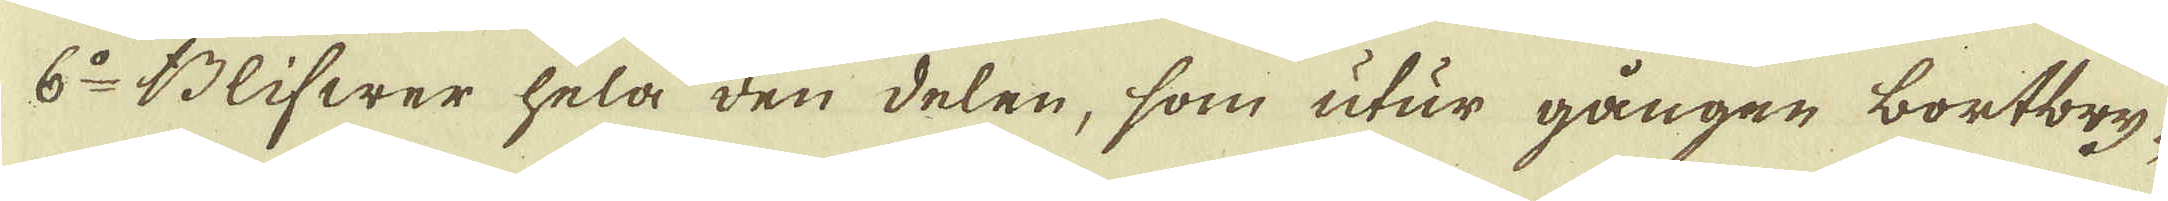6:o Blifwer hela den delen, som utur gången bortbry-
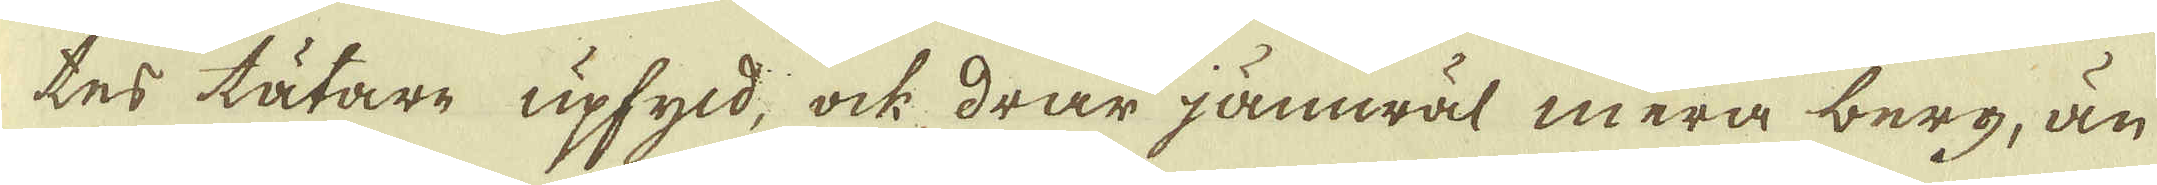tes tätare upfyld, ock drar jämwäl mera berg, än
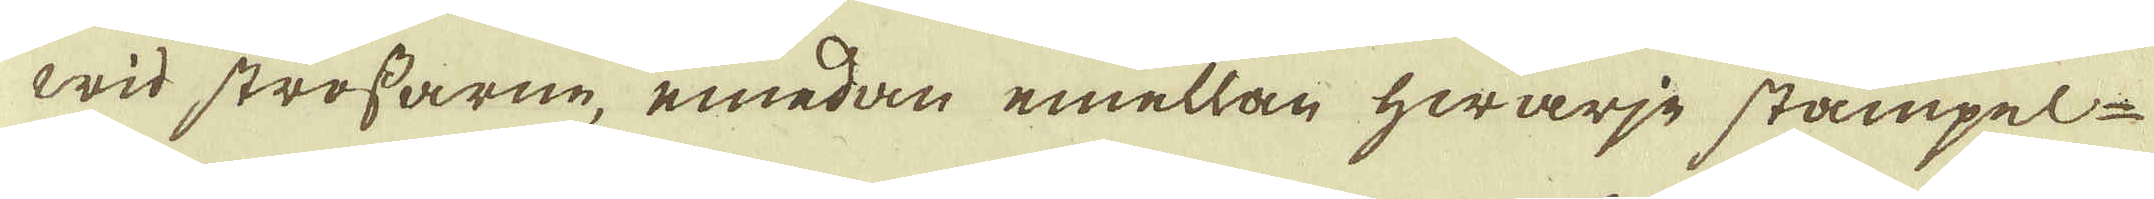wid strossarne, emedan emellan hwarje stämpel
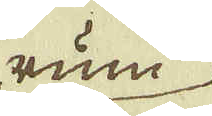rum
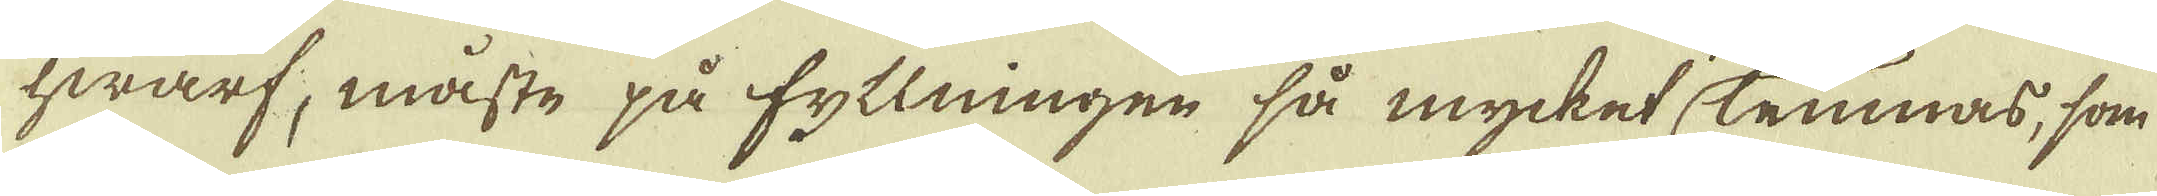hwarf, måste på fyllningen så mycket lemnas, som
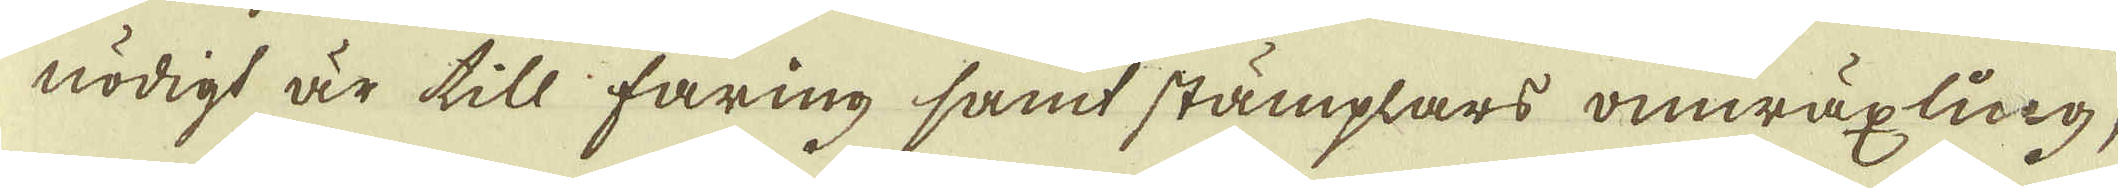nödigt är till faring samt stämplars omwäxling,
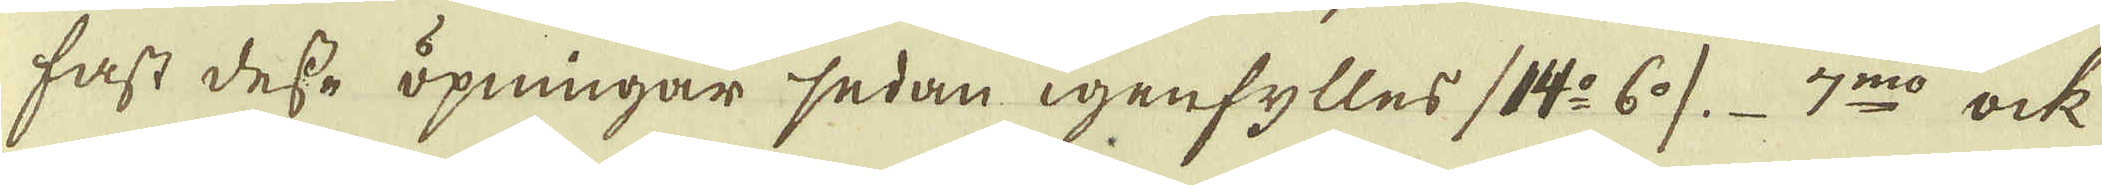fast desse öpningar sedan igenfylles (14:o 6:o). 7:mo ock
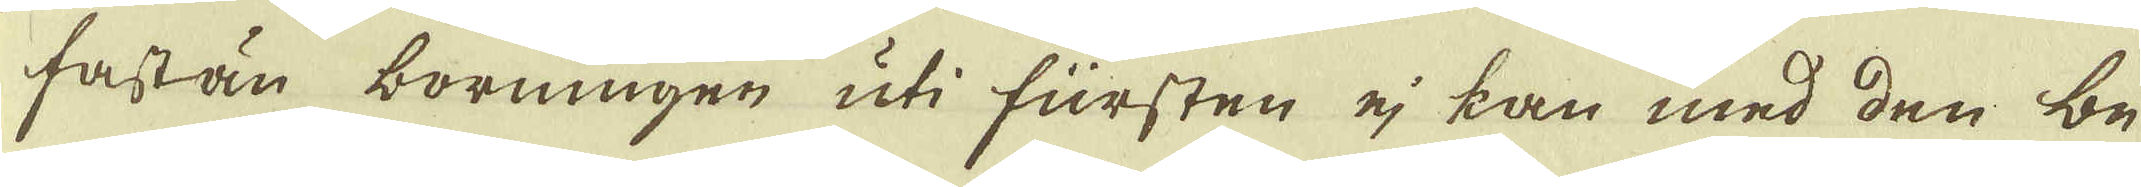fastän borningen uti fürsten ej kan med den be-
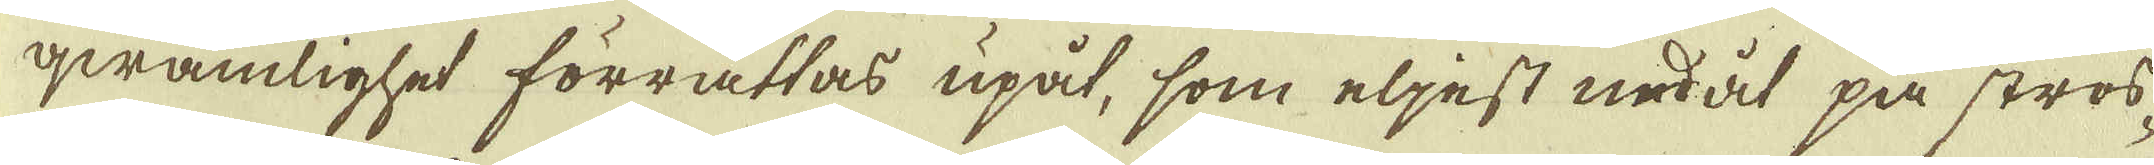qwämlighet förrättas upåt, som eljest nedåt på stros-
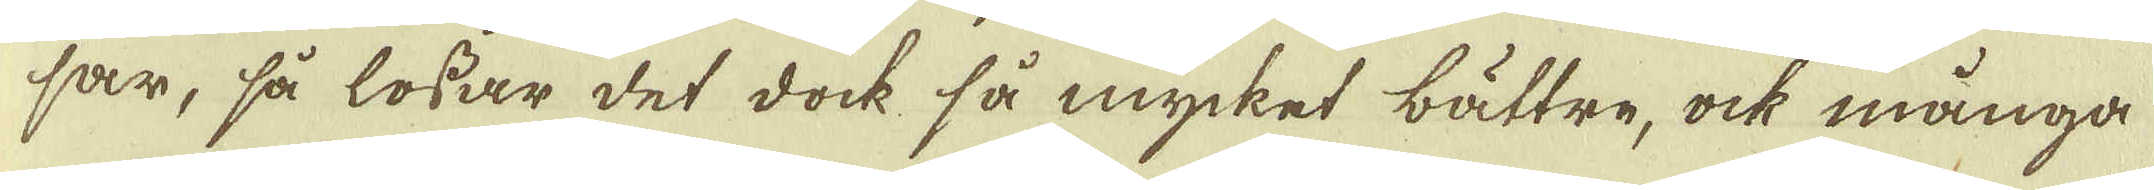sar, så lossar det dock så mycket bättre, ock många
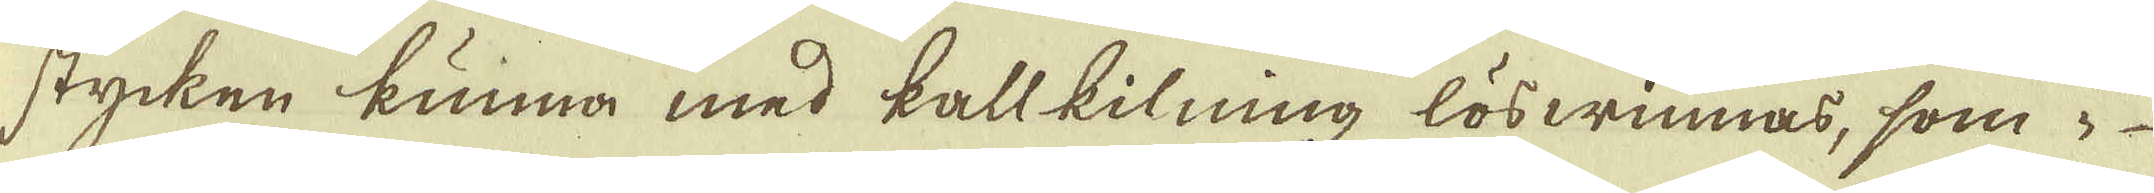stycken kunna med kallkilning löswinnas, som i
